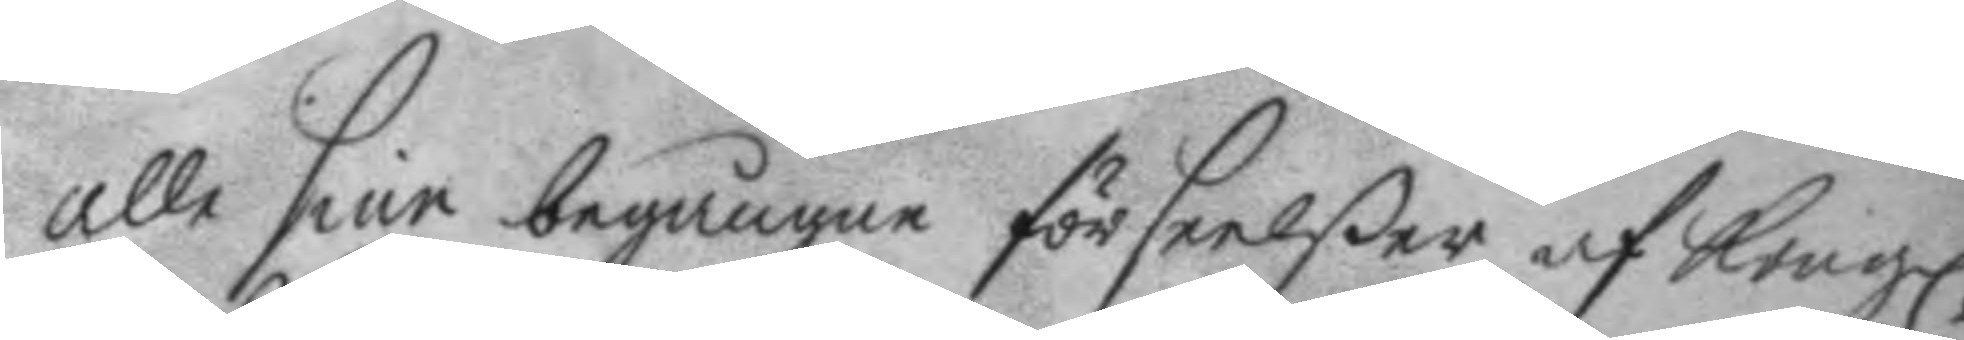alle sine begångne förseelßer af Kongl:
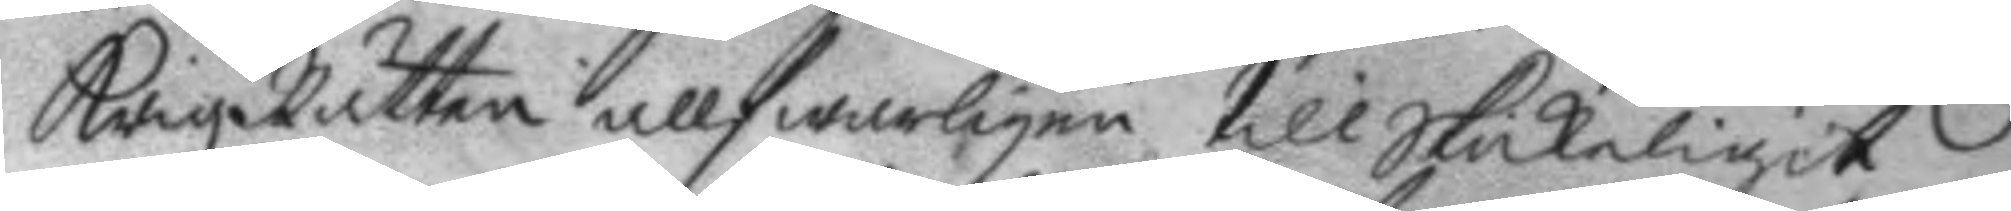KrigzRätten allfwarligen till Skickeligit
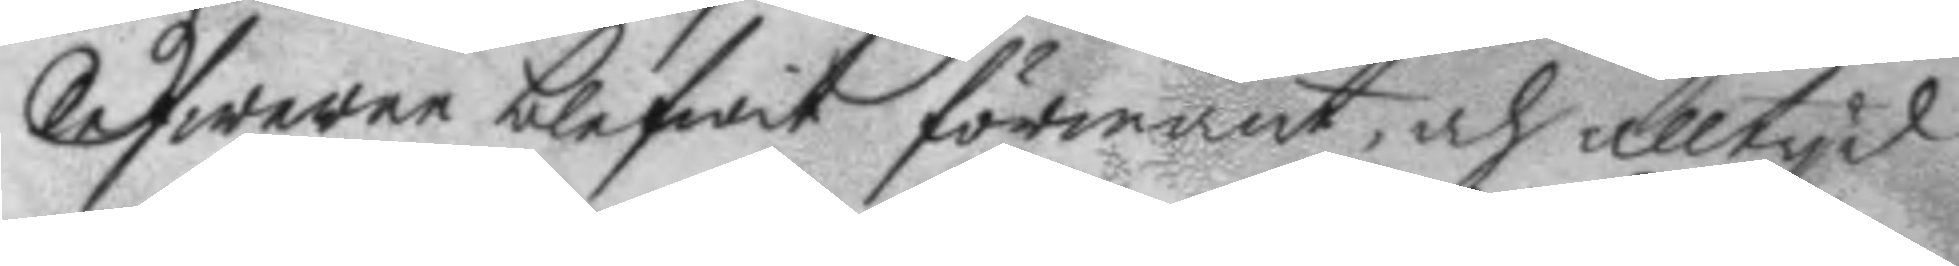lefwerne blefwit förmant, och alltyd
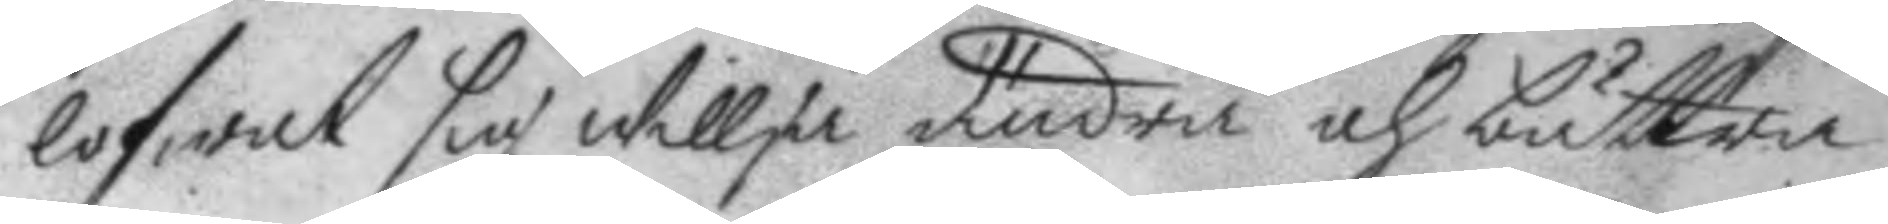lofwat sig willja ändra och bättra:
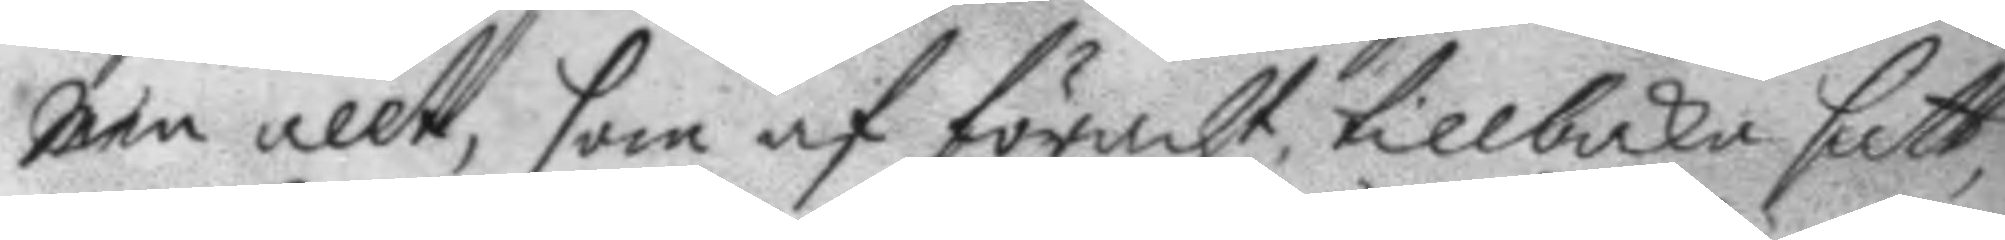men allt, som af föracht, tillbaka satt,
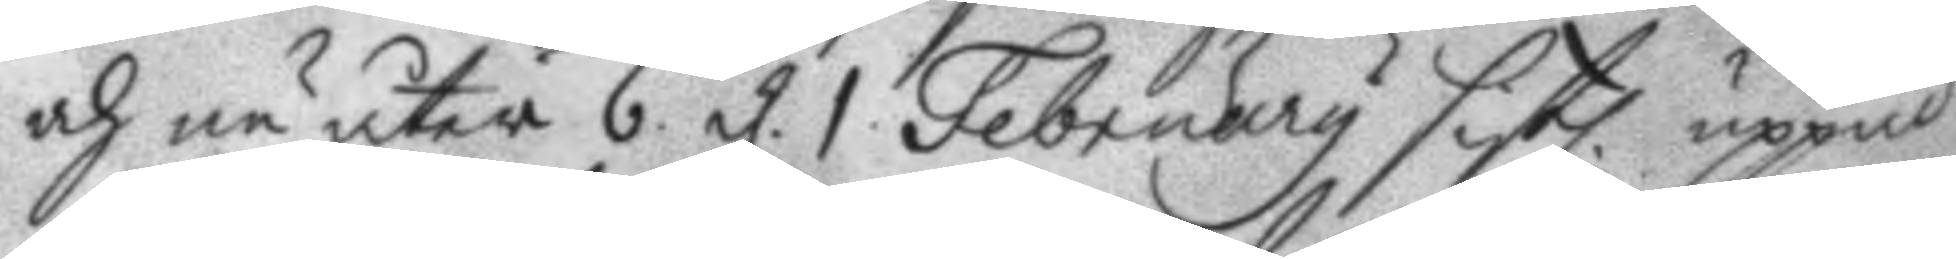och nu åter 6. d. 1 February sistl. uppå
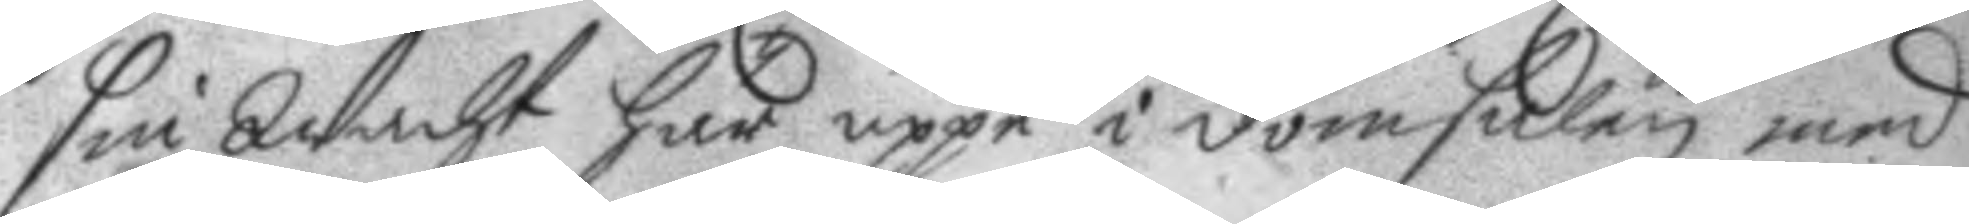sin Wacht här uppe i domstolen med
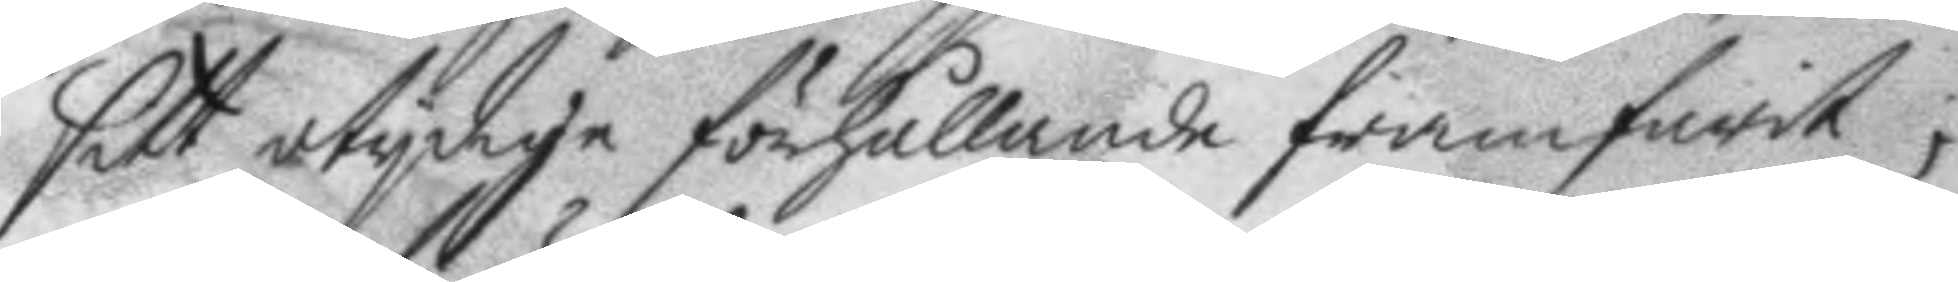sitt otydige förhållande framfarit;
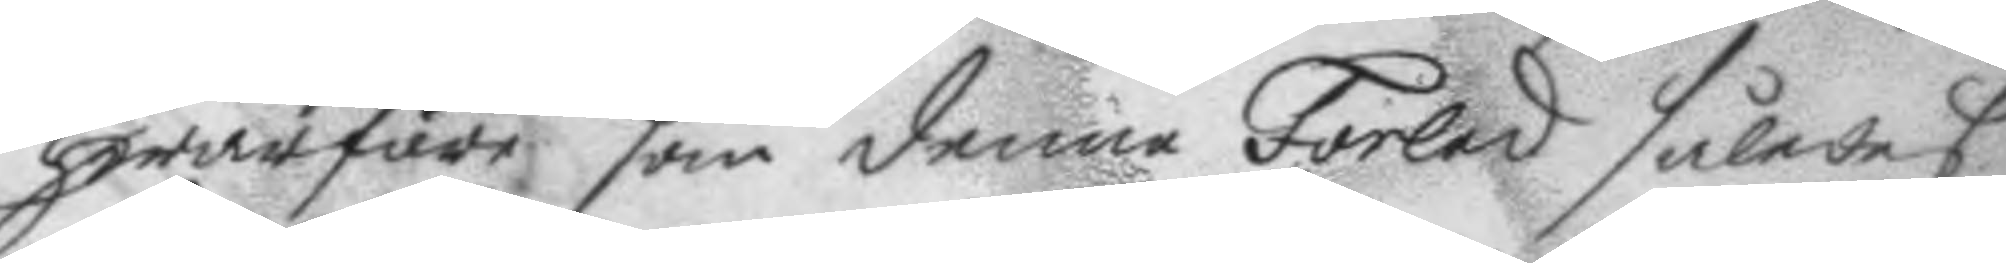hwarföre som denne Forled således
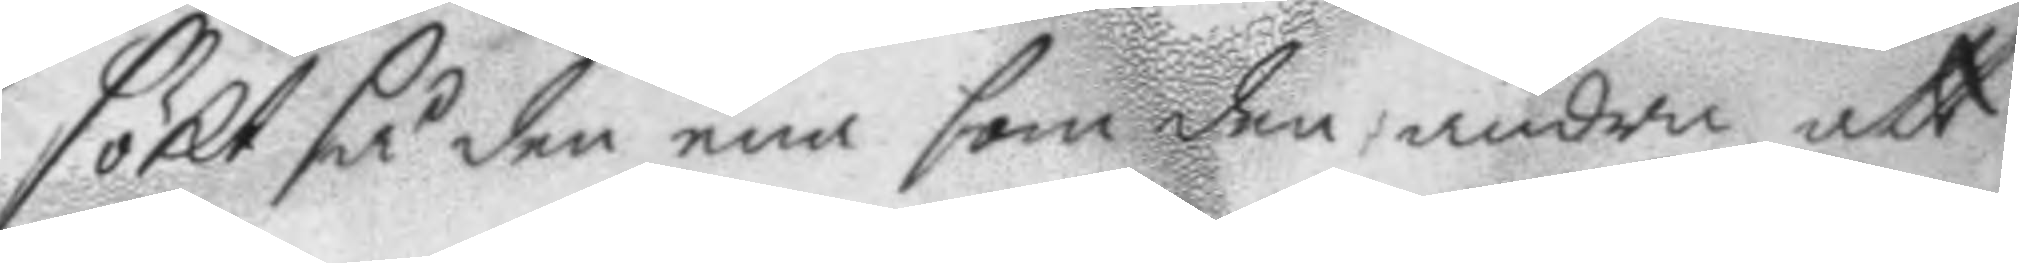sökt så den ena som den andra att
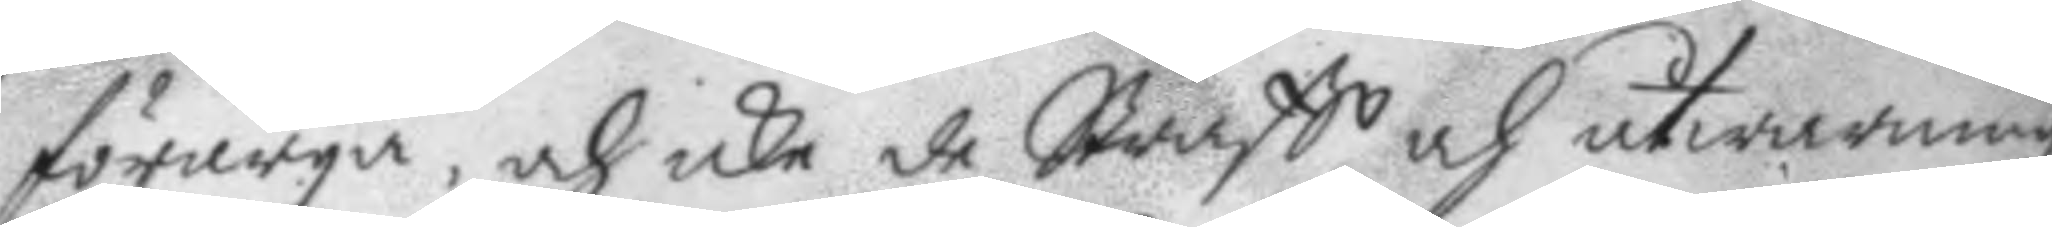förarga, och icke de Straff och åtwarningz
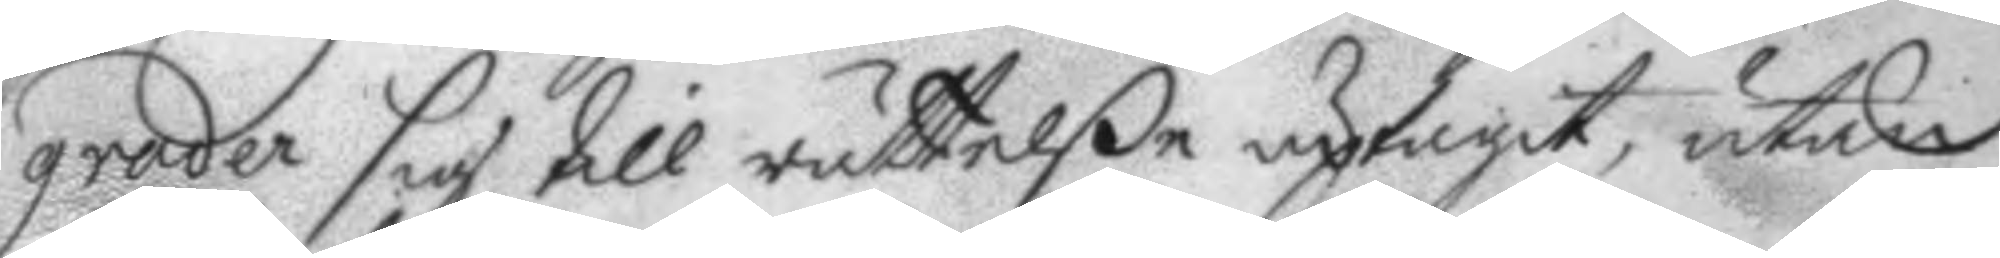grader sig till rättelße uptagit, utan
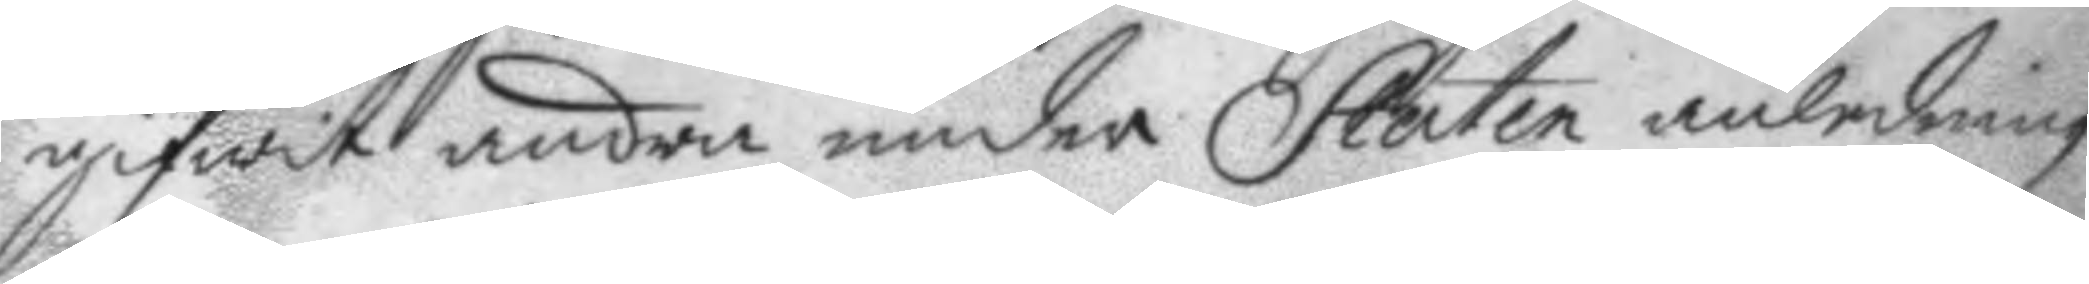gifwit andra under Staten anledning
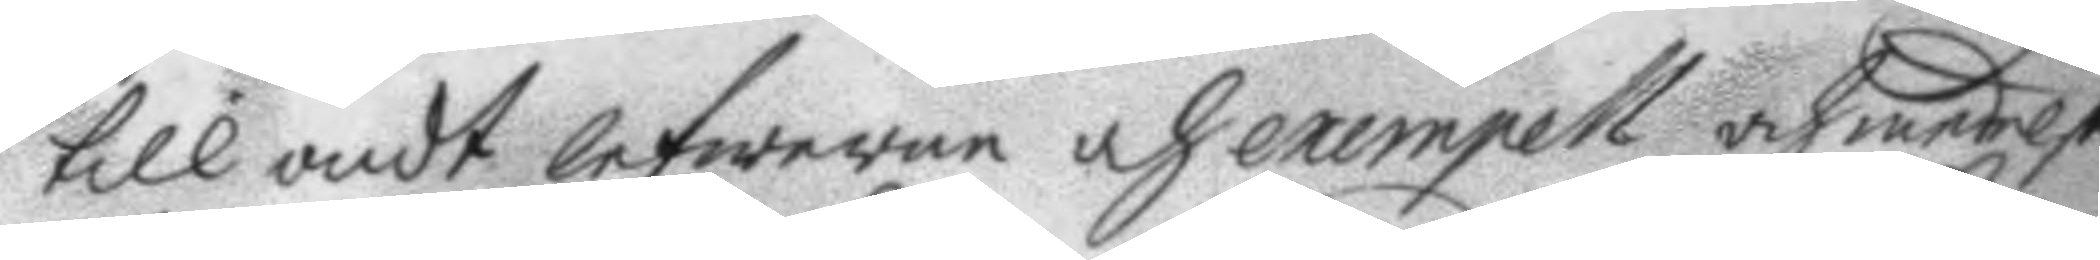till ondt lefwerne och exempell och medelst
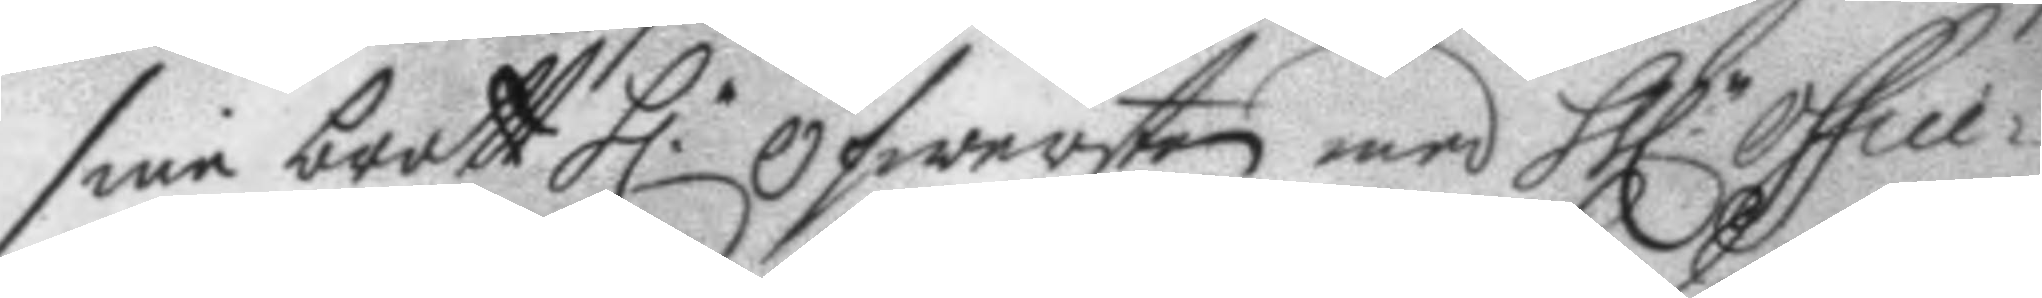sine brott h. öfwersten med hh.r office¬
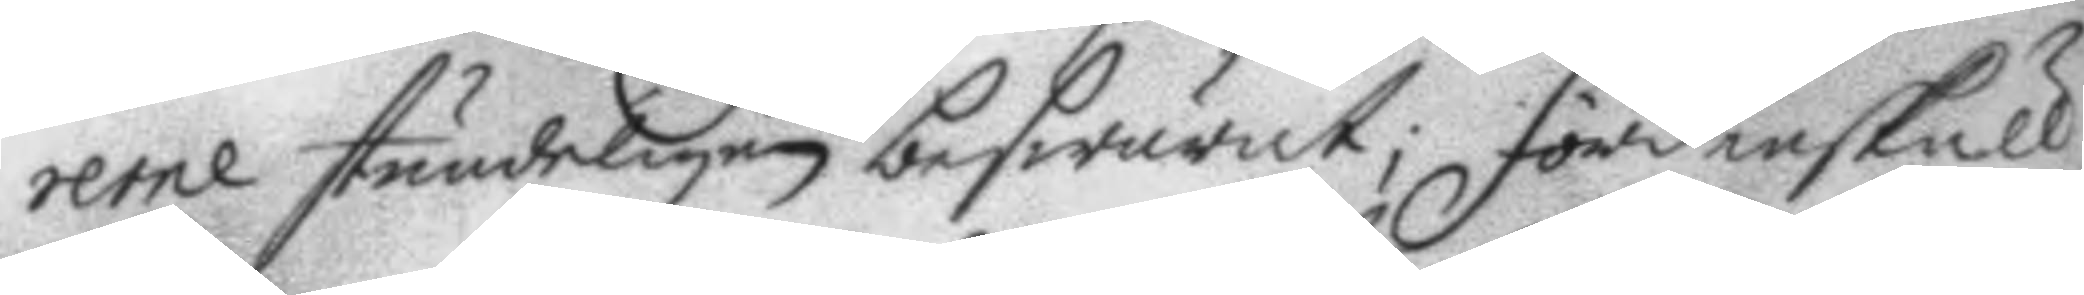rerne stundeligen beswärat; fördenskull
